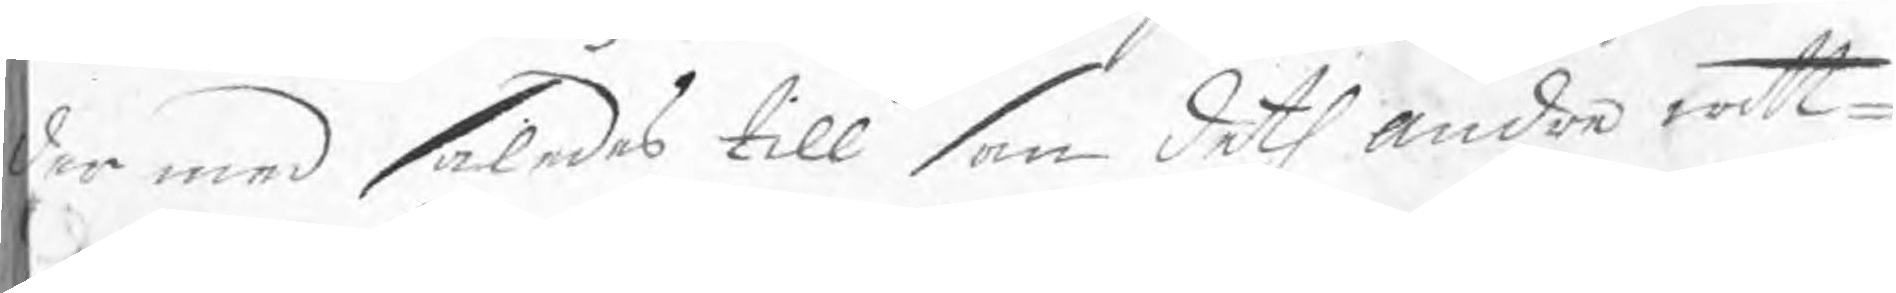der med således till som deth andra witt¬
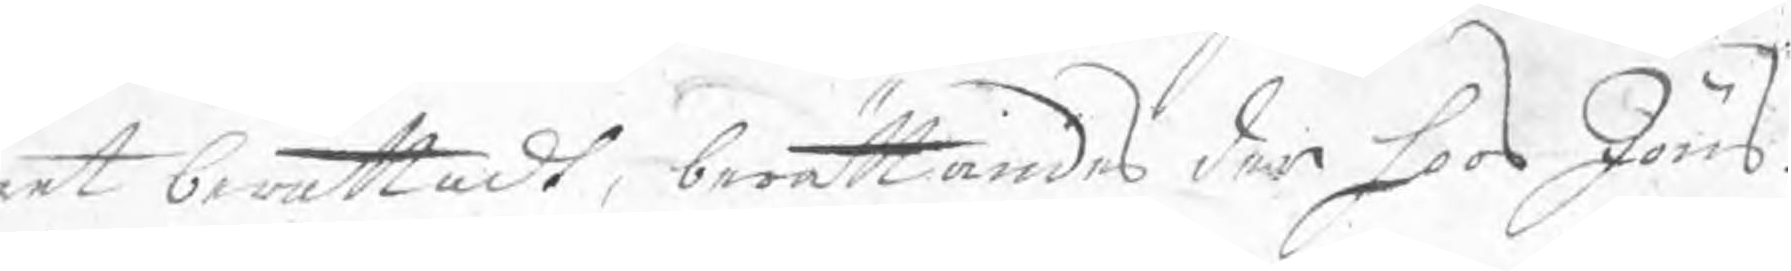net berättadt, berättandes der hoos Jöns
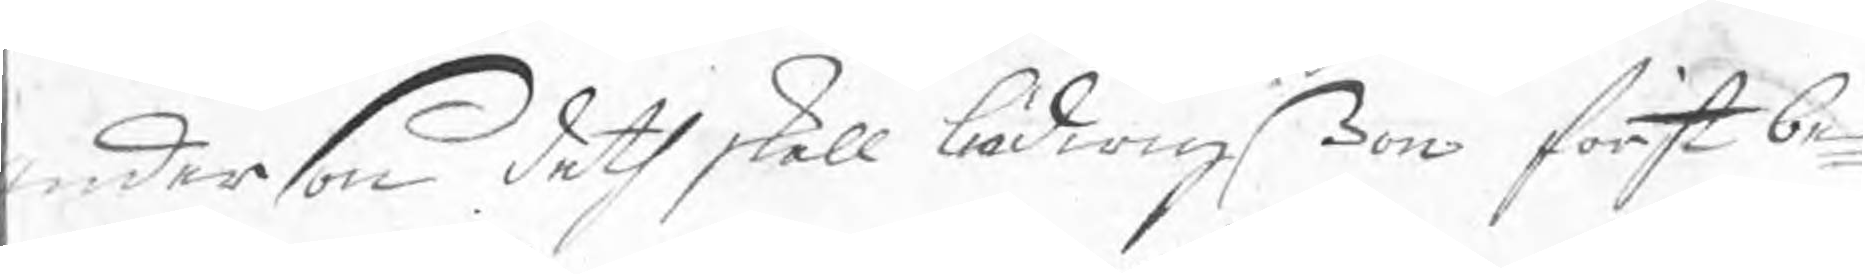Anderson deth skall Ludwigßon först be¬
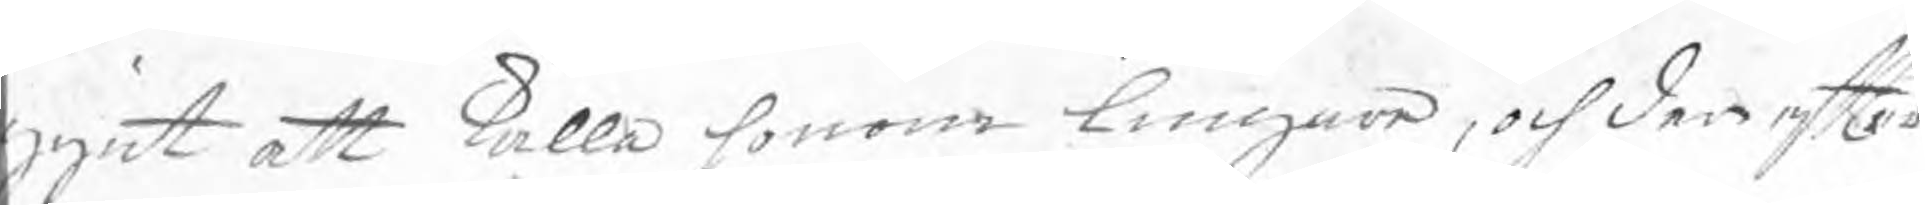gynt att kalla honom lungare, och der efter
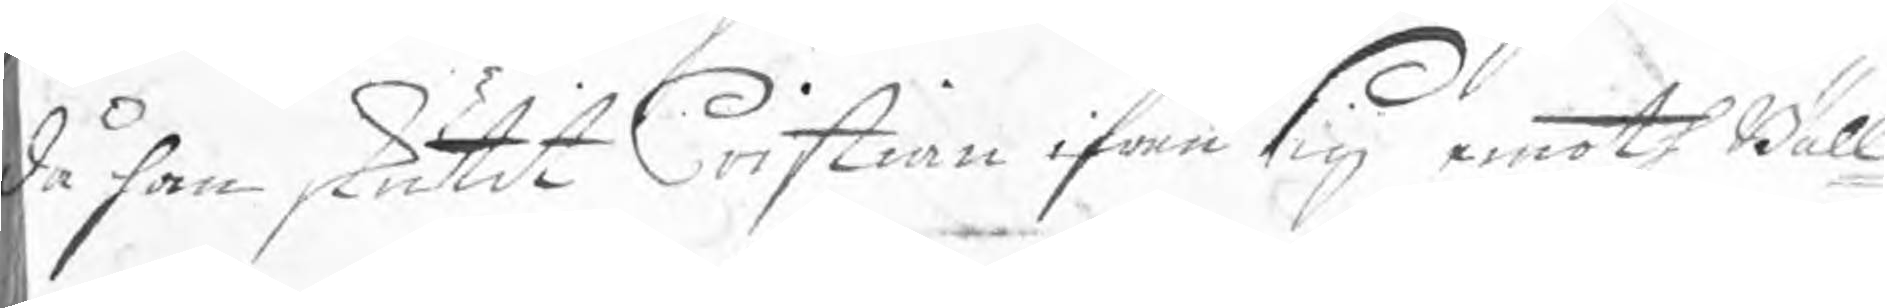då han skutit Cristian ifrån sig emoth Bäll¬
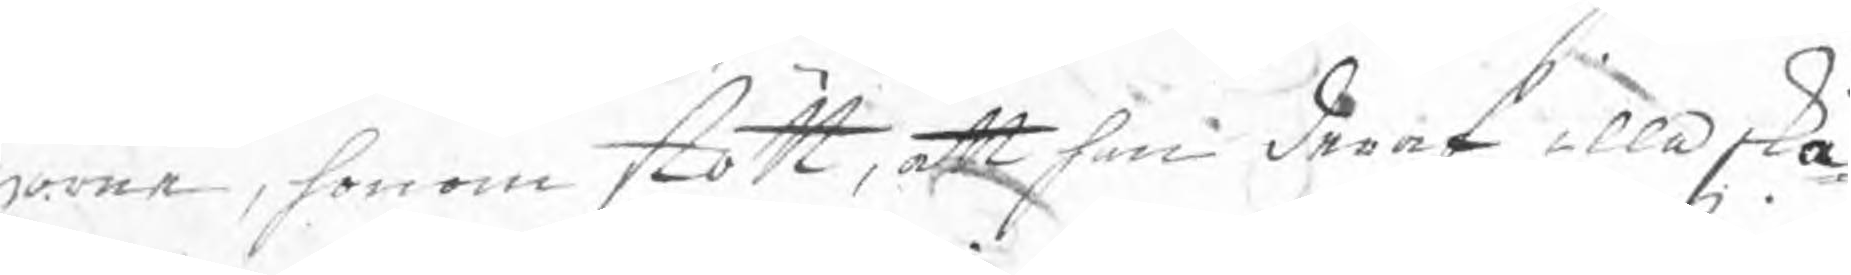gorne, honom stött, att han deraf illa ska¬
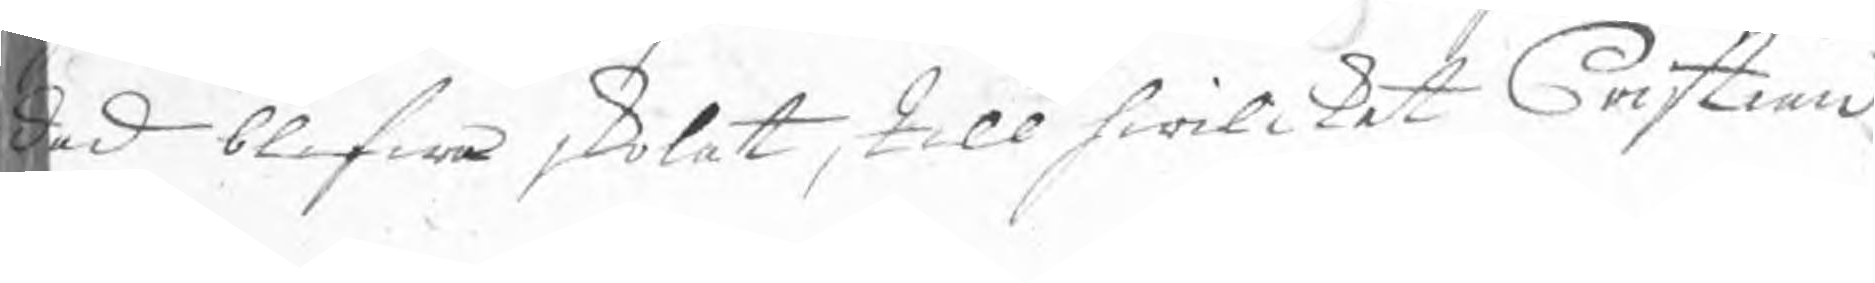dad blifwa skolat, till hwilket Cristian
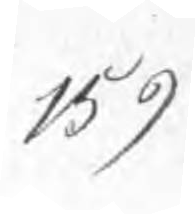159
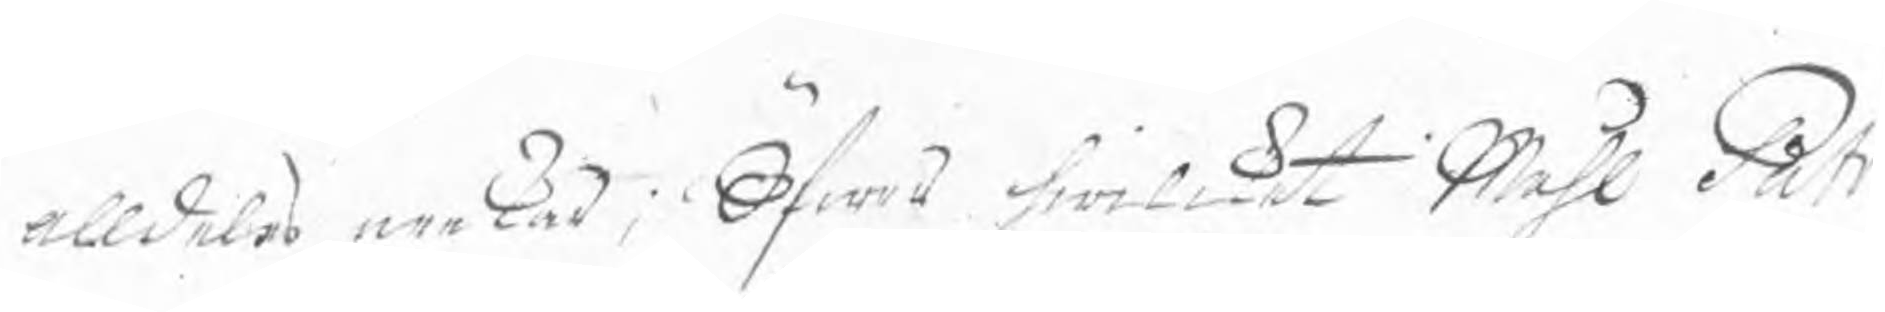alldeles nekar; Öfwer hwilket Måhl Patr
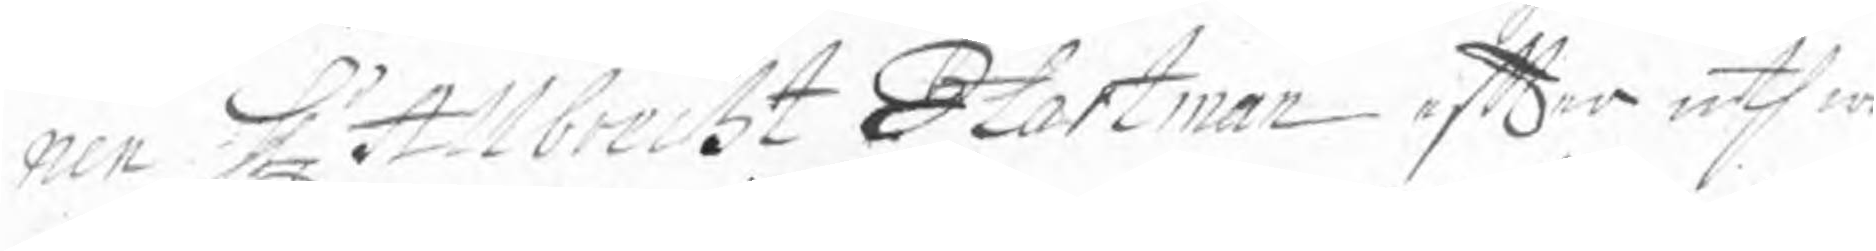nen Hr Allbrecht Hartman efter uthwä
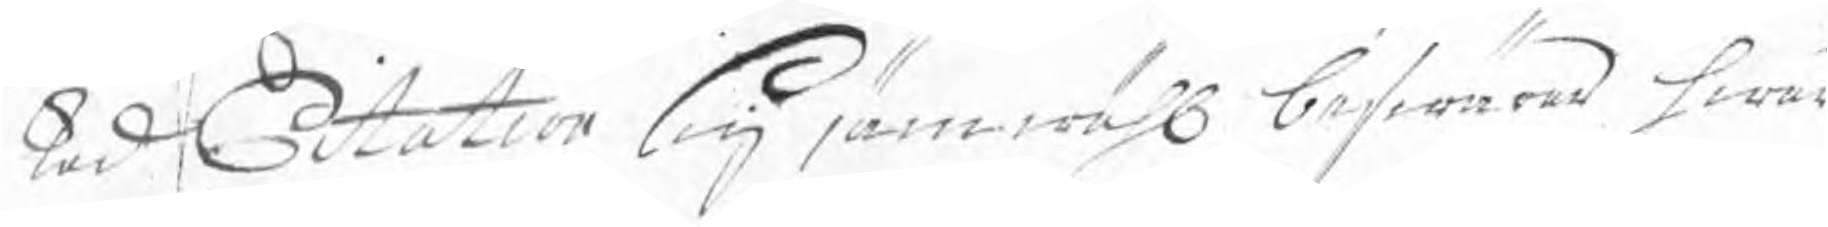kad Citation sig jämwähl beswärad hwad
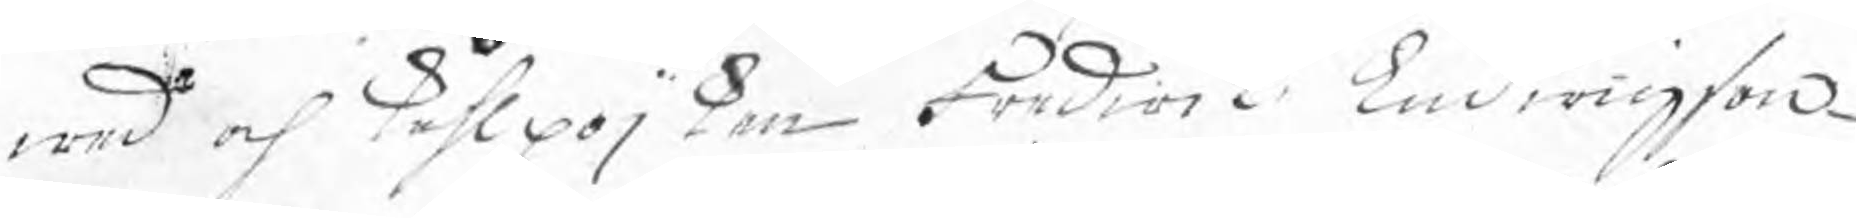wed och kåhlpojken Fredirik Ludwigson
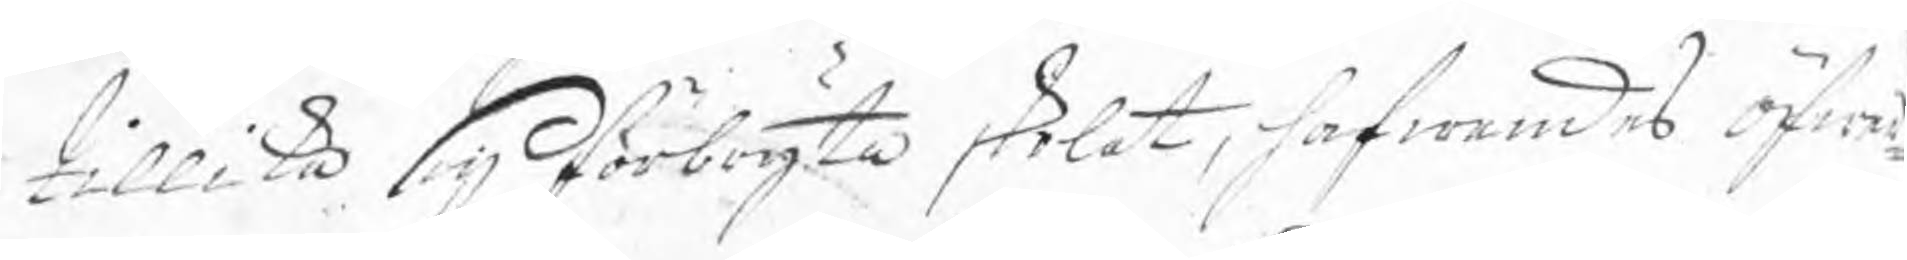tillika sig förbryta skolat, hafwandes öfwer¬
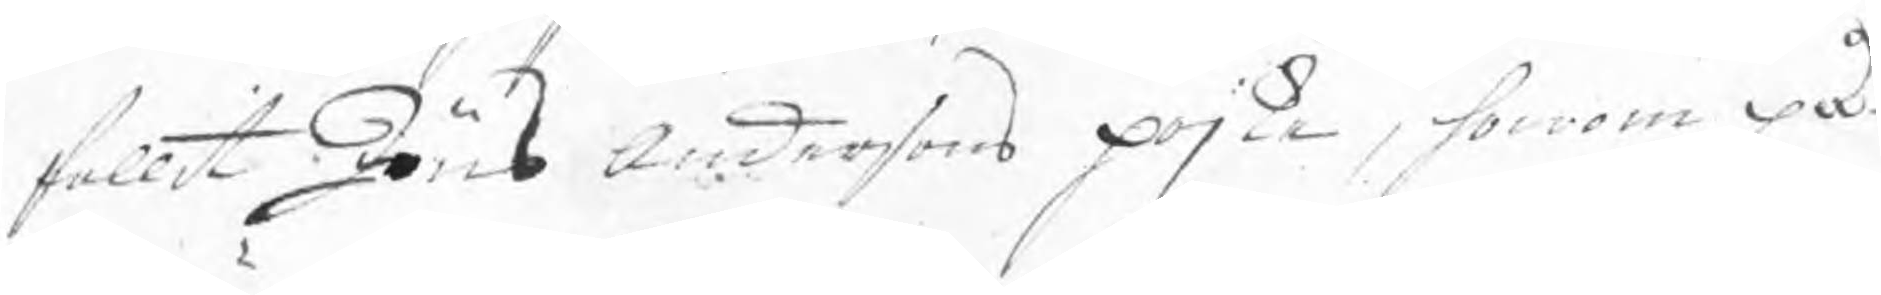fallit Jöns Andersons pojke, honom på
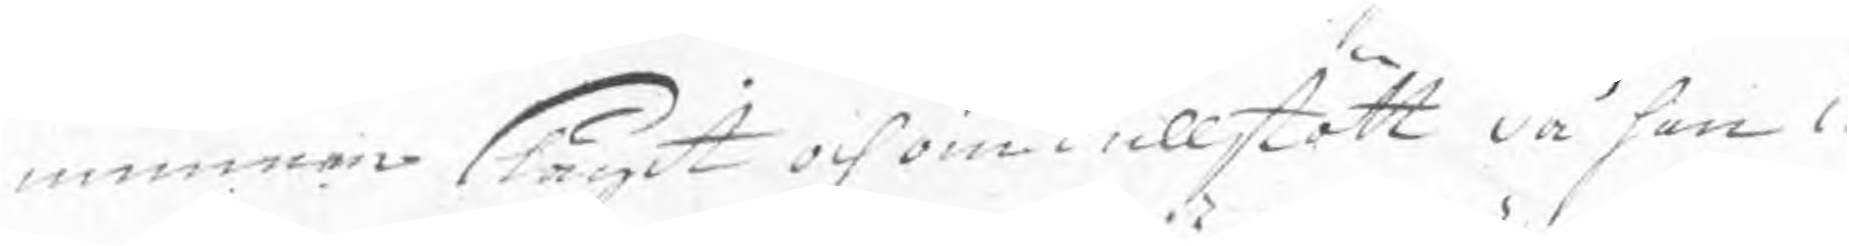munnen slagit och omkullstött då han i
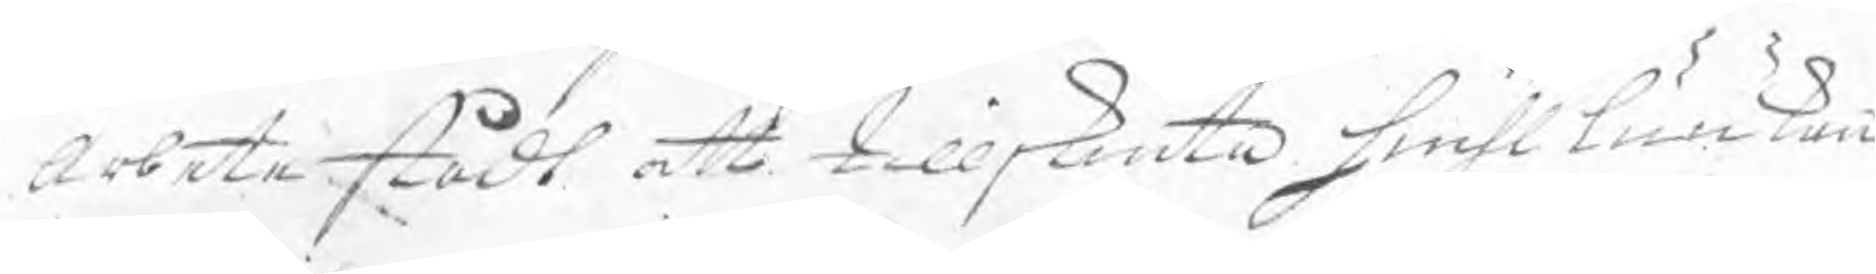arbete stådt att tillskiuta hiuhlluukan
